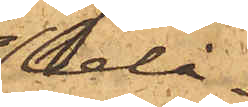belå¬
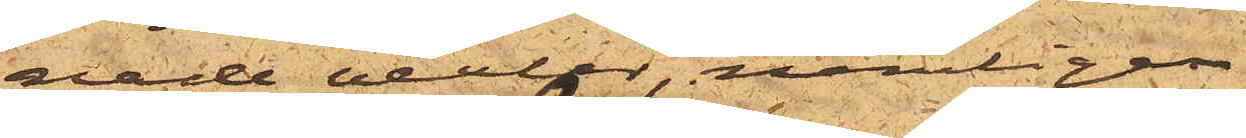nade vexlar, nämligen
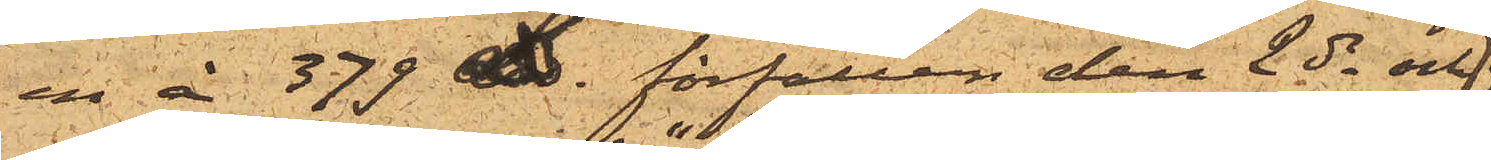en å 379£  förfallen den 2 ds och
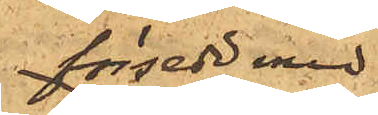försedd med
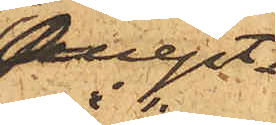Accept
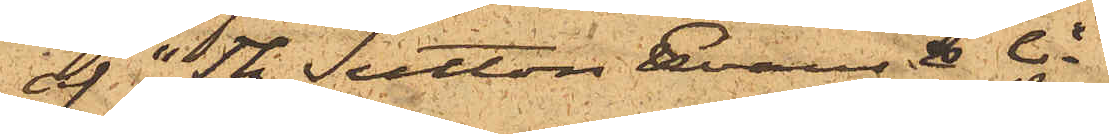af "The Sutton Evans & Co";
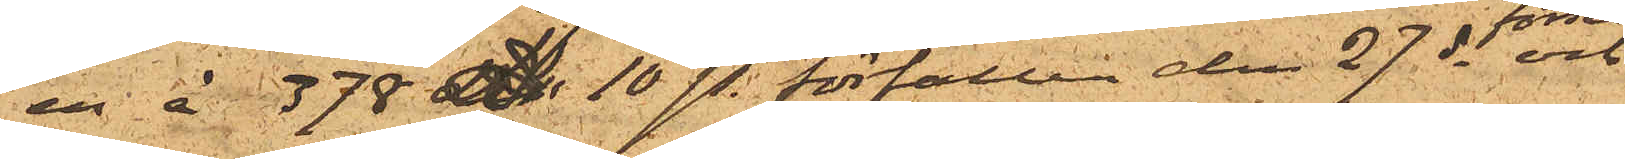en å 378 £ 10sh. förfallen den 27 ds och
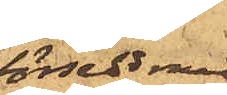försedd med
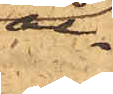ac¬ 
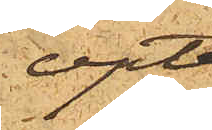cept
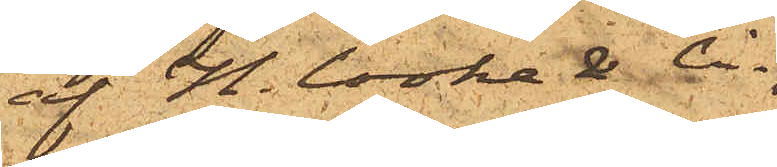af H. Cooke & Co;
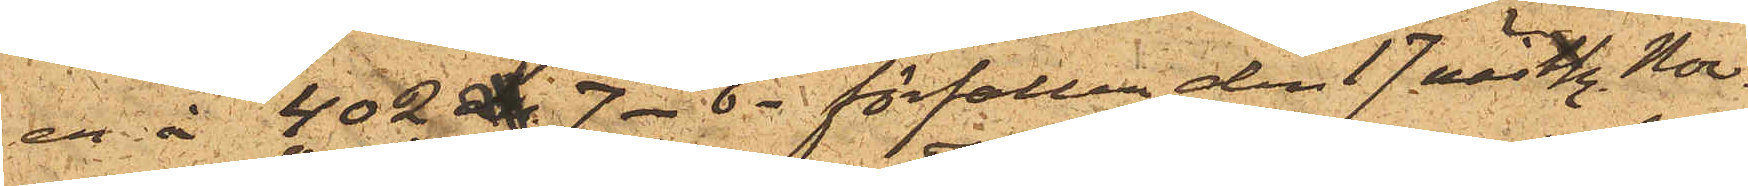en å 402 £ 7 . 6 . förfallen den 17 nästk. Nov.
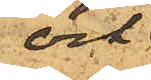och
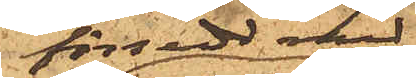försedd med
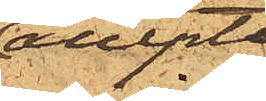accept
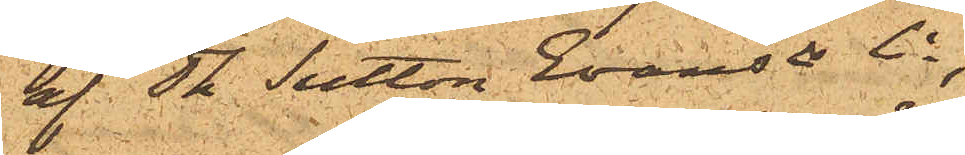af Th. Sutton Evans Co;
